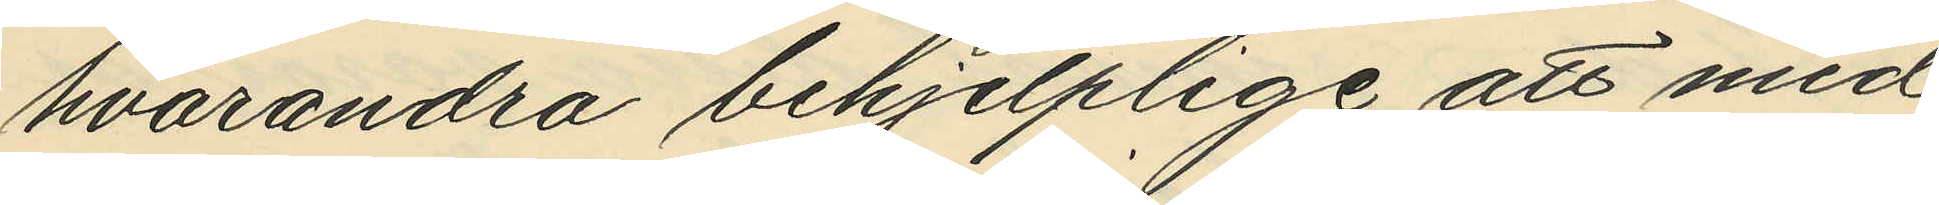hvarandra behjelplige att med
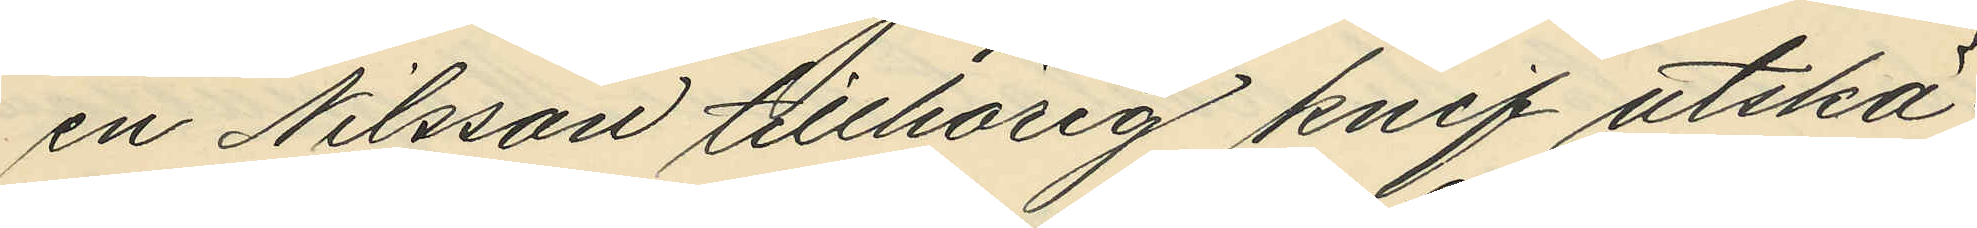en Nilsson tillhörig knif utskä¬
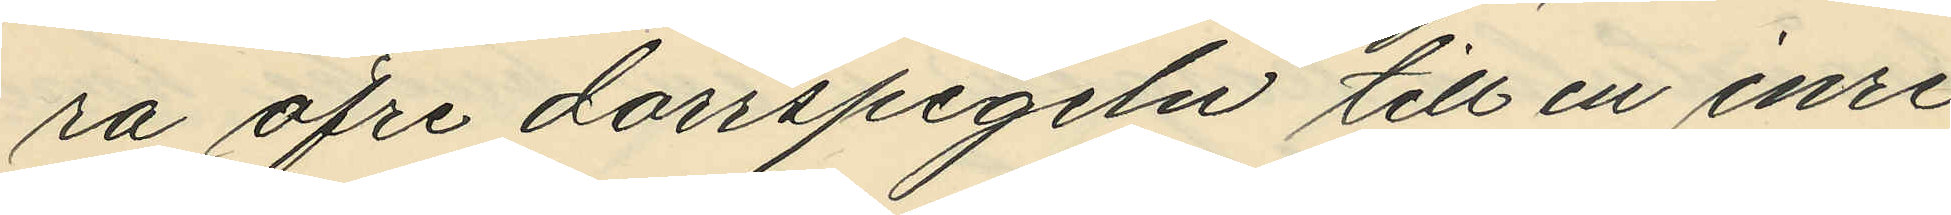ra öfre dörrspegeln till en inre
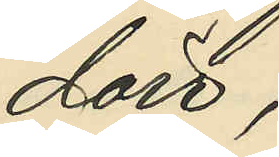dörr;
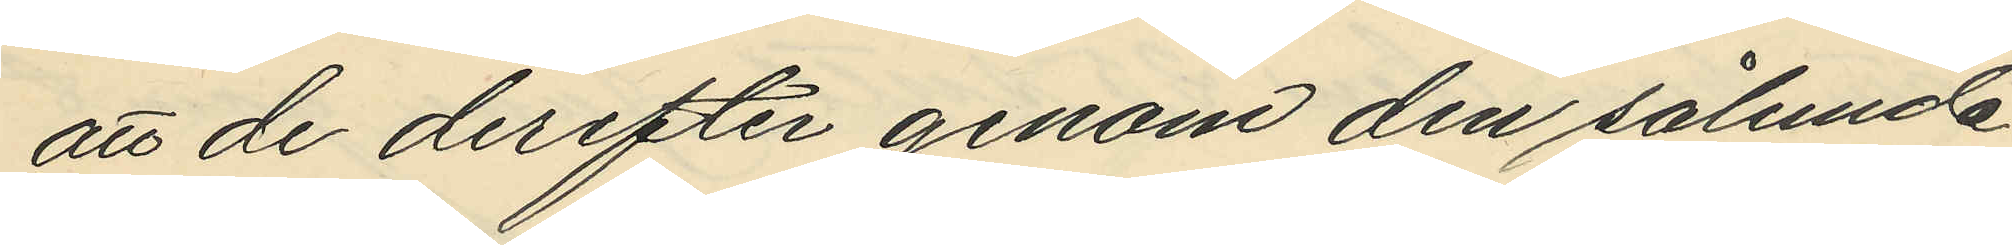att de derefter genom den sålunda
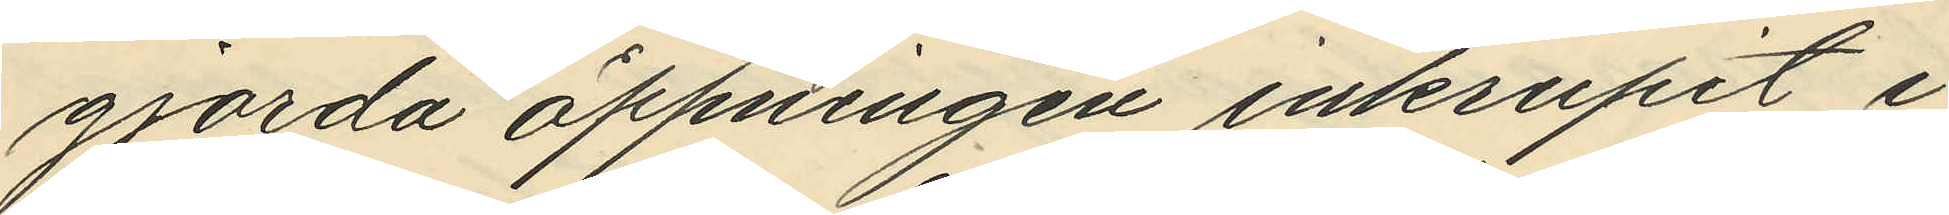gjorda öppningen inkrupit i
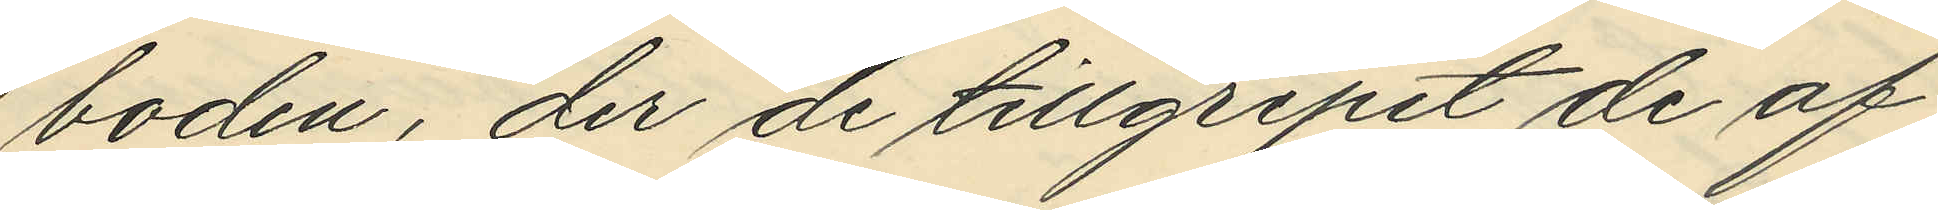boden, der de tillgripit de af
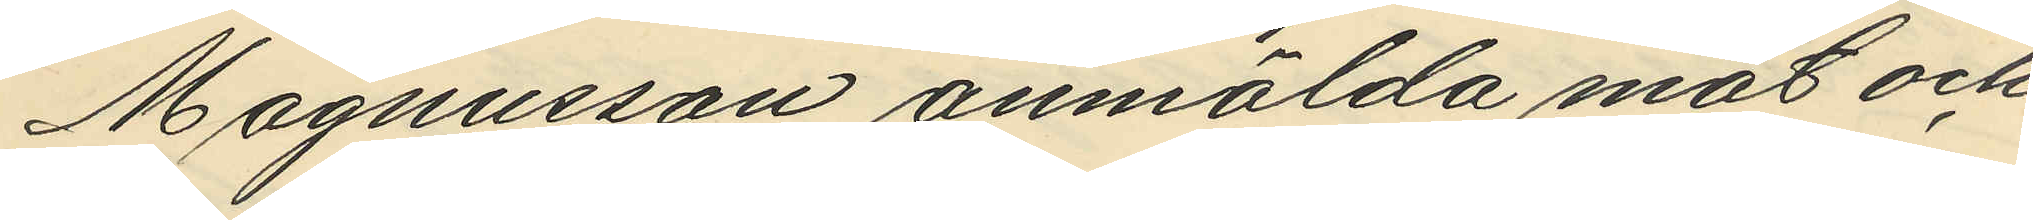Magnusson anmälda mat och
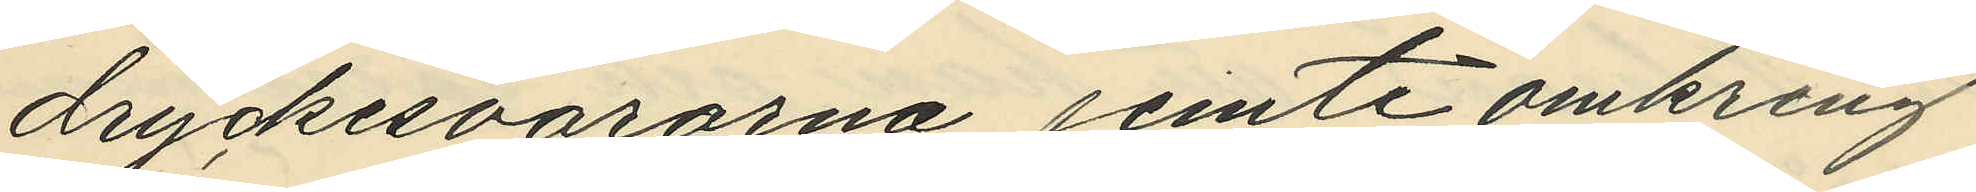dryckesvarorna jemte omkring
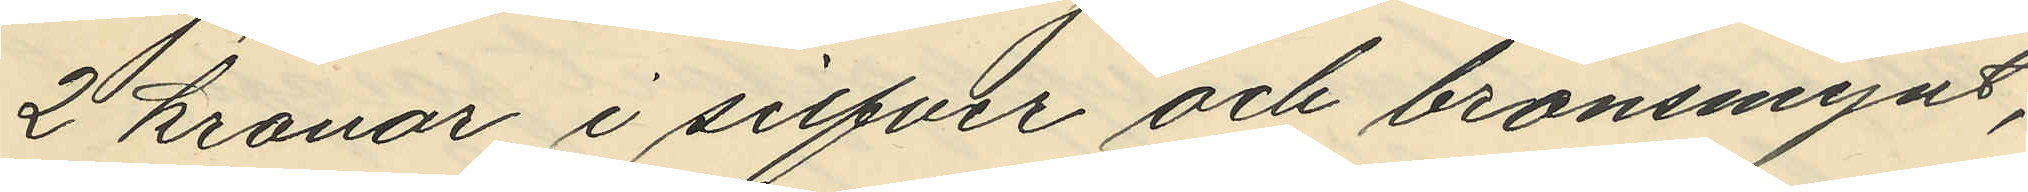2 kronor i silfver och bronsmynt,
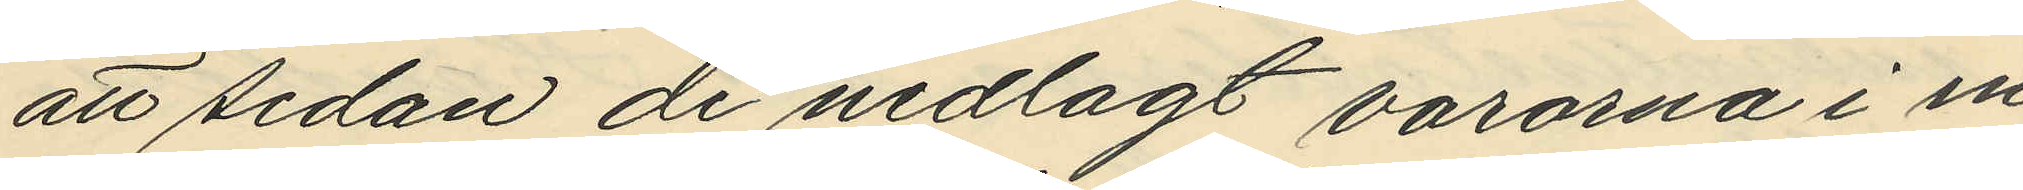att sedan de nedlagt varorna i en
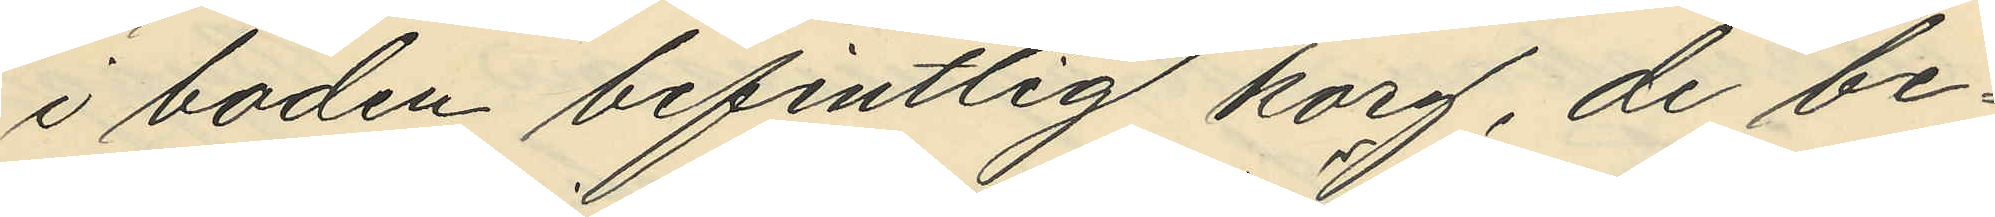i boden befintlig korg, de be¬
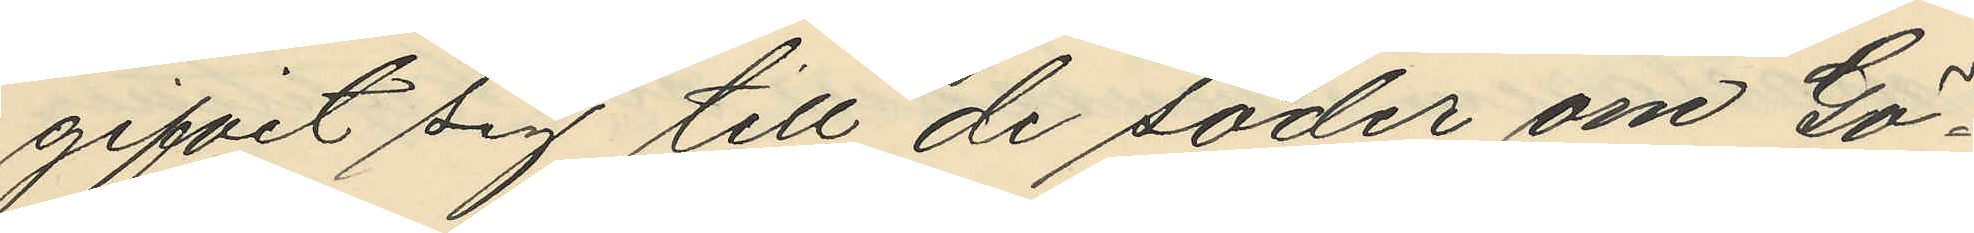gifvit sig till de söder om Gö¬
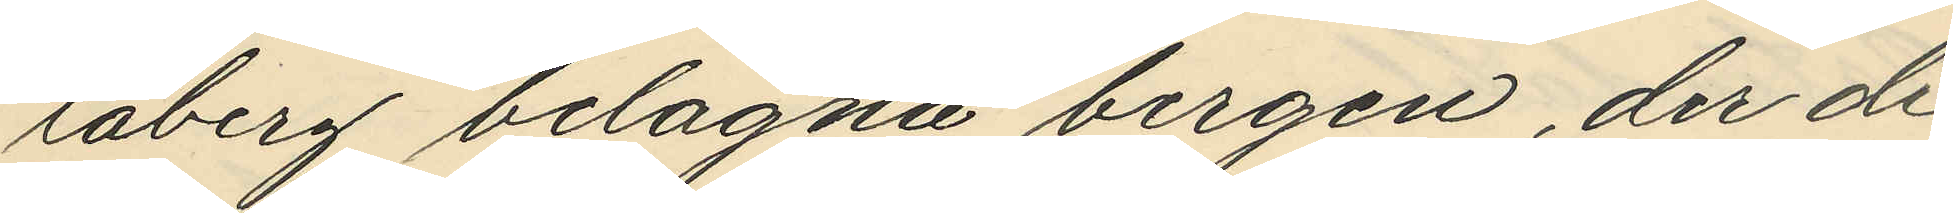taberg belägna bergen, der de
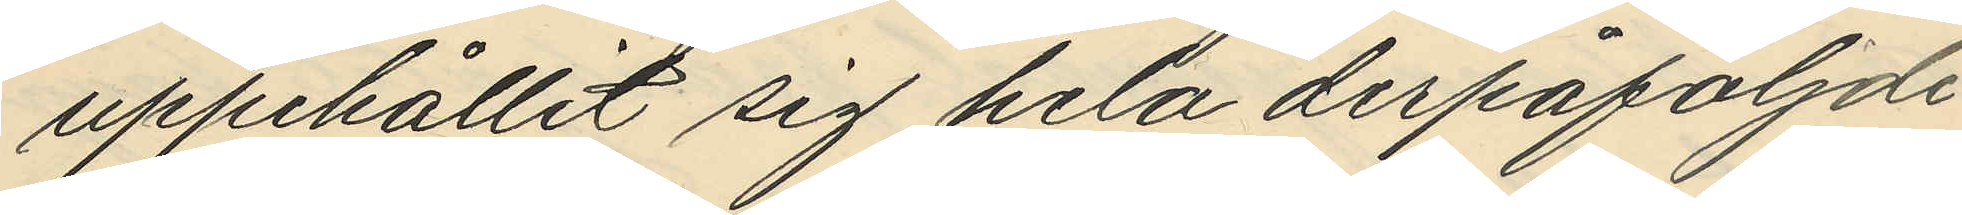uppehållit sig hela derpåföljde
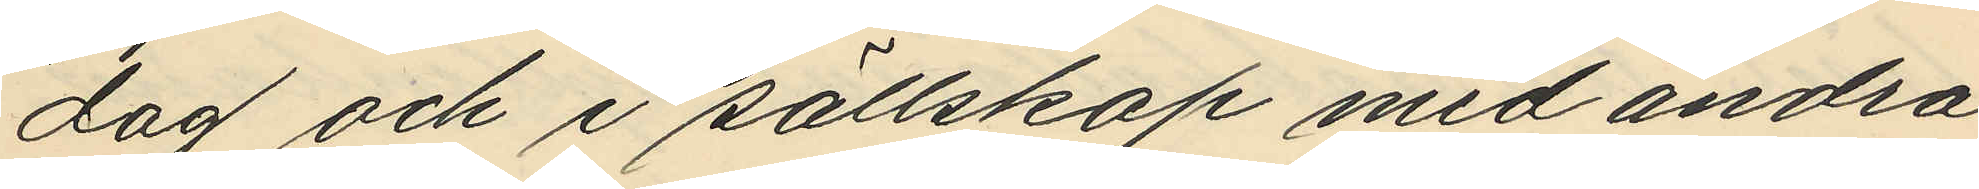dag och i sällskap med andra
